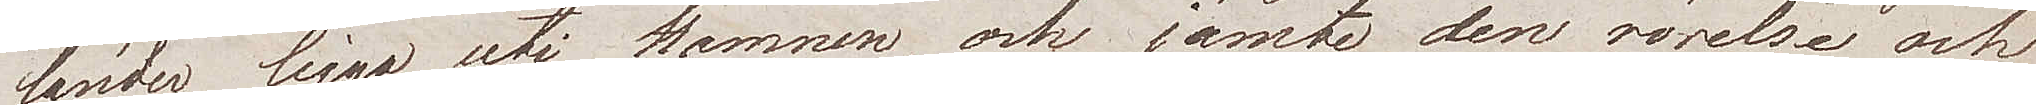länder ligga uti Hamnen, och jämte den rörelse och
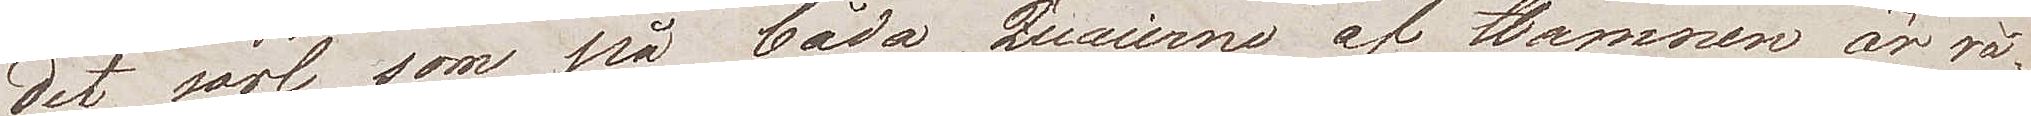det sorl som på båda Quaierna af Hamnen är rå¬
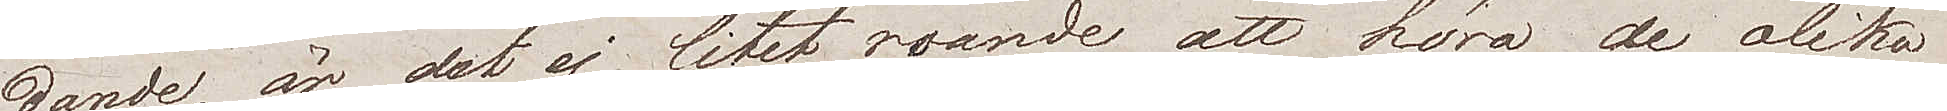dande, är det ej litet roande att höra de olika
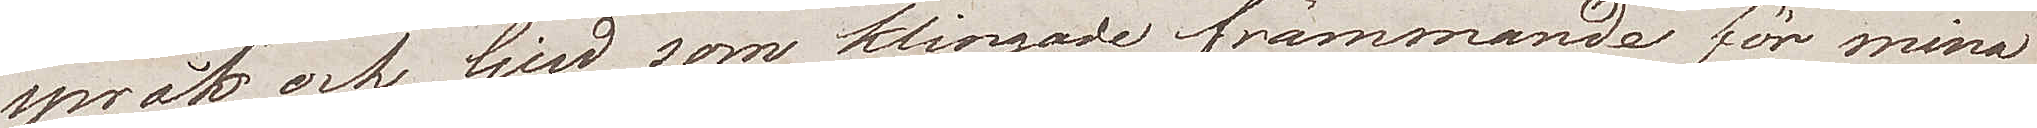språk och ljud som klingade främmande för mina
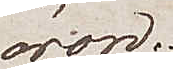öron.
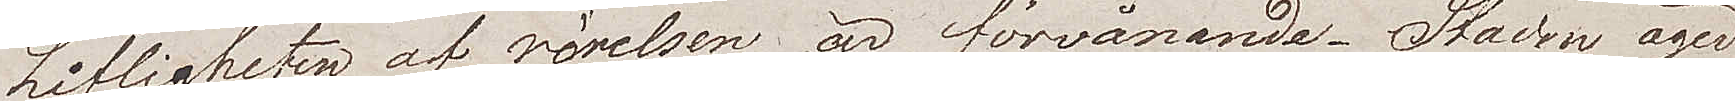Lifligheten av rörelsen är förvånande. Staden äger
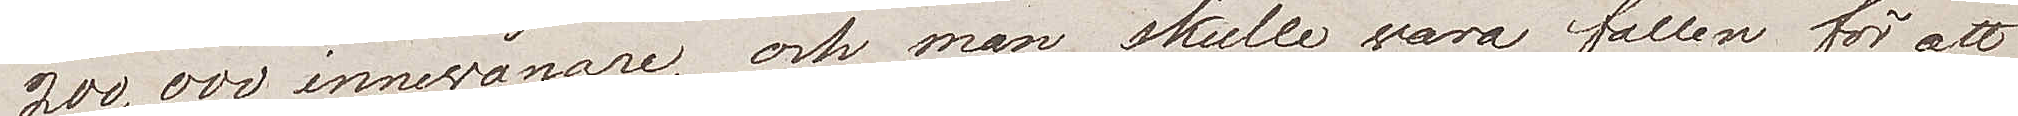200,000 innewånare, och man skulle wara fallen för att
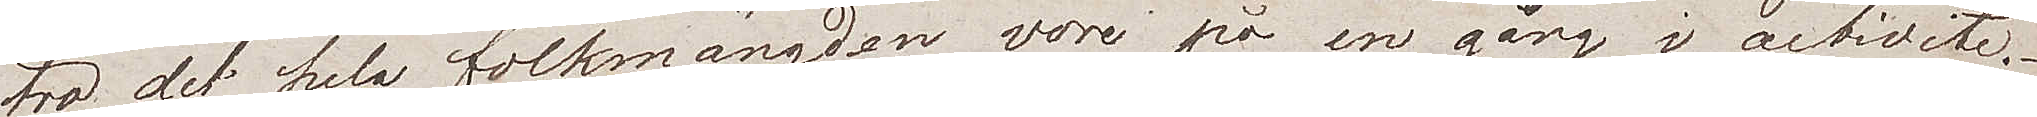tro, det hela folkmängden wore på en gång i activité.
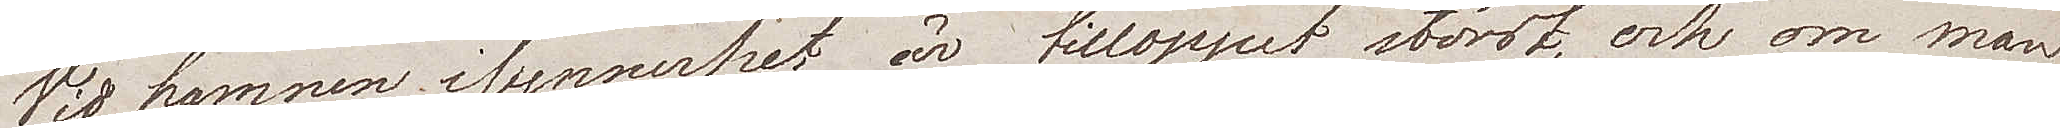Wid hamnen i synnerhet är tilloppet störst, och om man
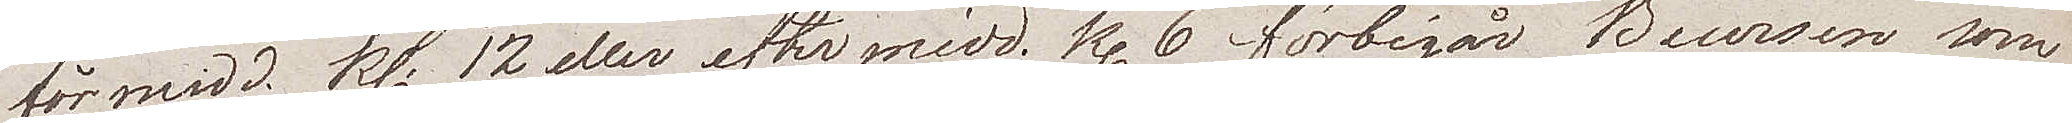förmidd. Kl. 12 eller eftermidd. Kl. 6 förbigår Boursen som
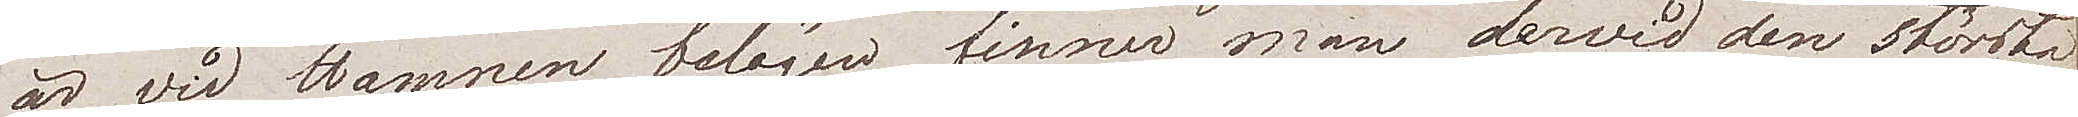är vid Hamnen belägen, finner man dervid den största
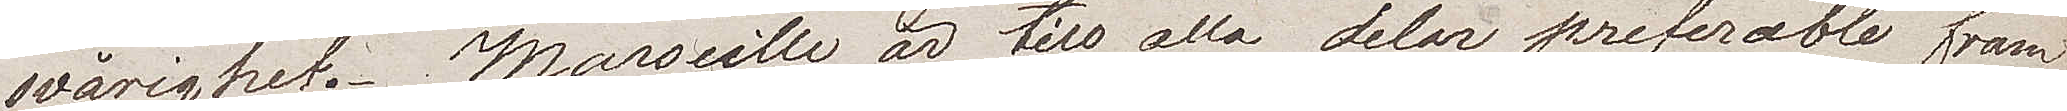svårighet. Marseille är till alla delar preferable fram¬
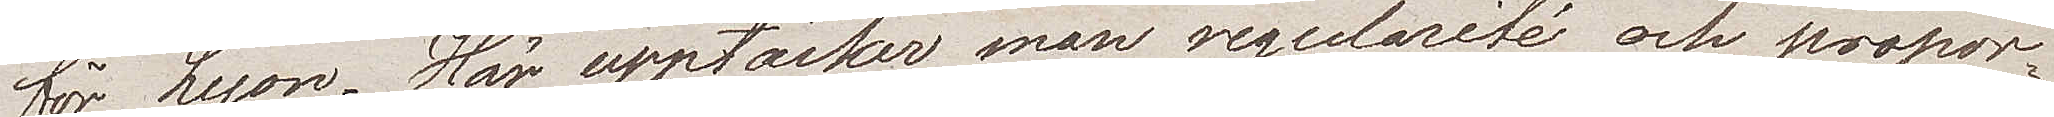för Lyon. Här upptäcker man regularité och propor¬
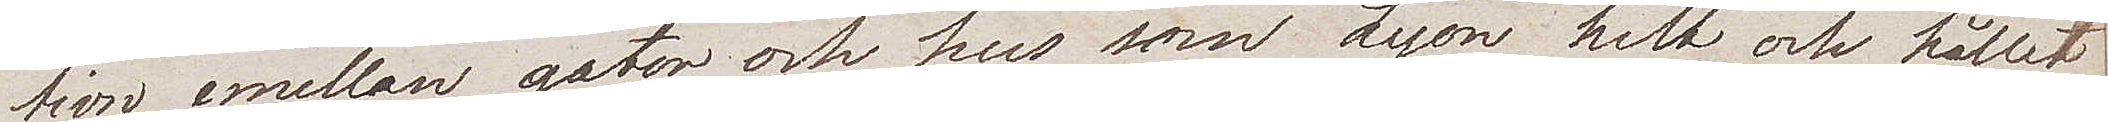tion emellan gator och hus som Lyon helt och hållet
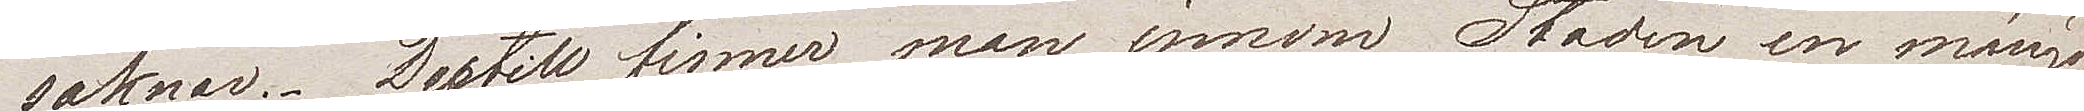saknar. Dertill finner man innom Staden en mängd
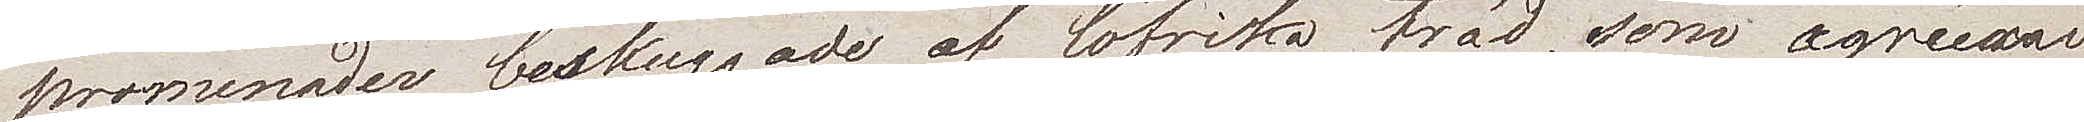promenader beskuggade af löfrika tröd, som agréerar
